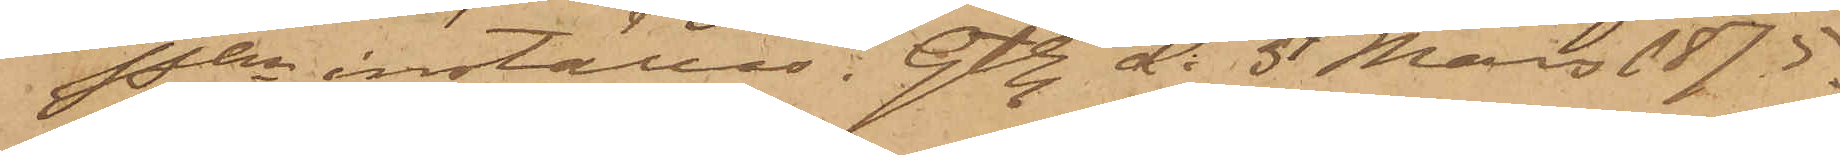Pkn inställas. Gtbg. d. 5 Mars 1875.
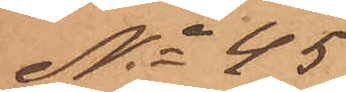No 45
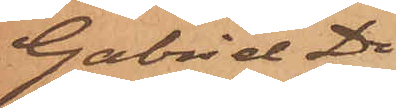Gabriel Di¬
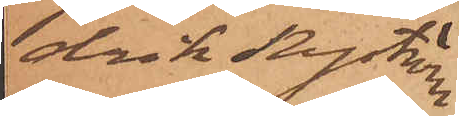drik Nyström
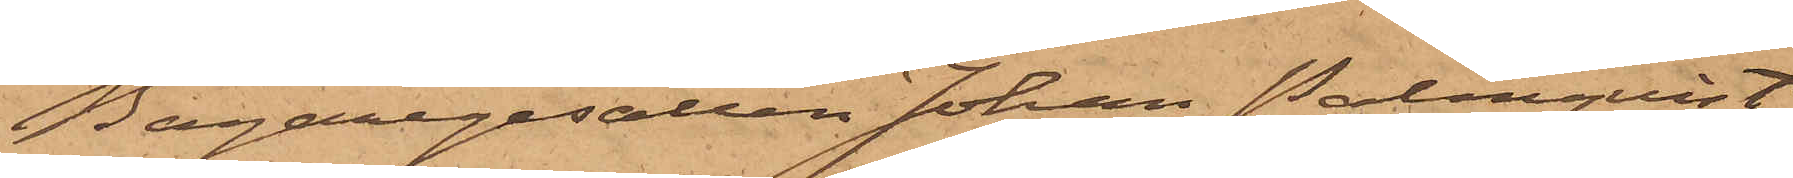Bagaregesällen Johan Palmquist,
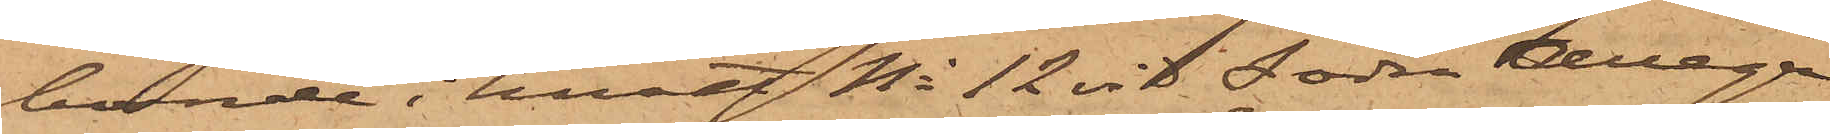boende i huset No 12 vid Södra Allega¬
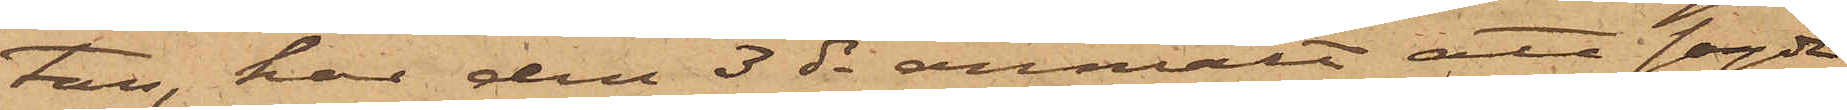tan, har den 3 ds anmält att sagde
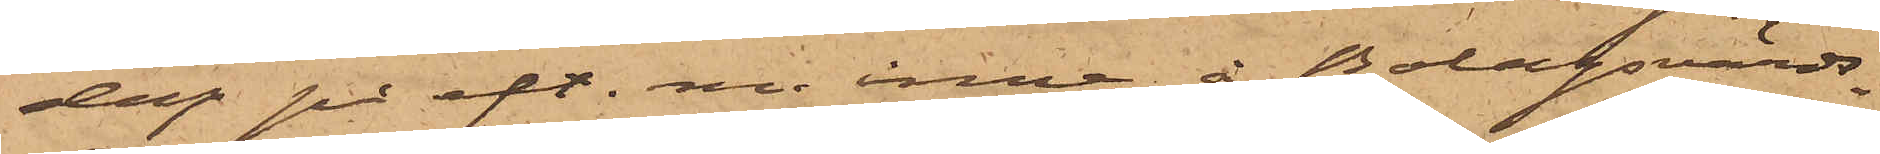dag på eft. m. inne å Bolagsvärds¬
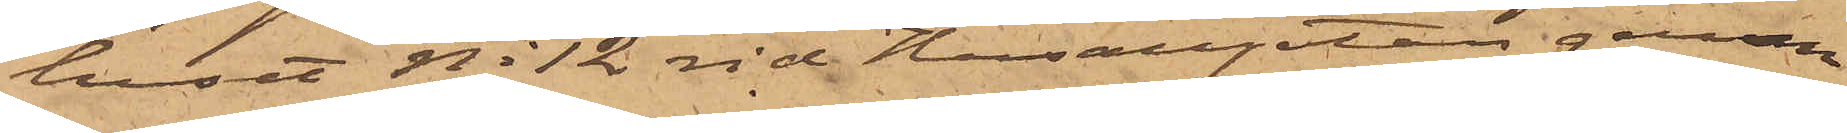huset No 12 vid Husargatan genom
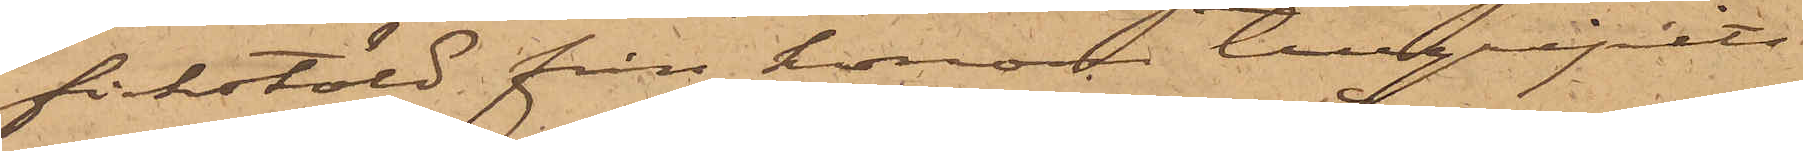fickstöld från honom tillgripits
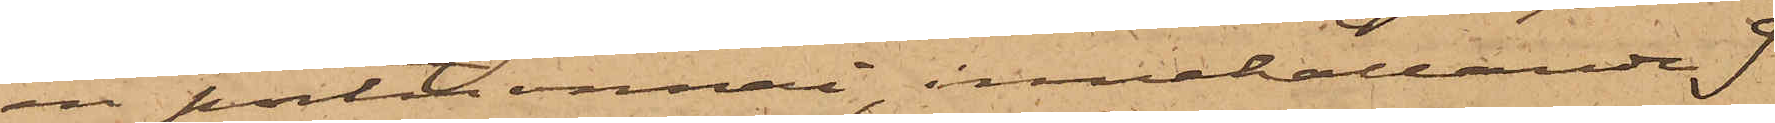en portmonnai, innehållande 9
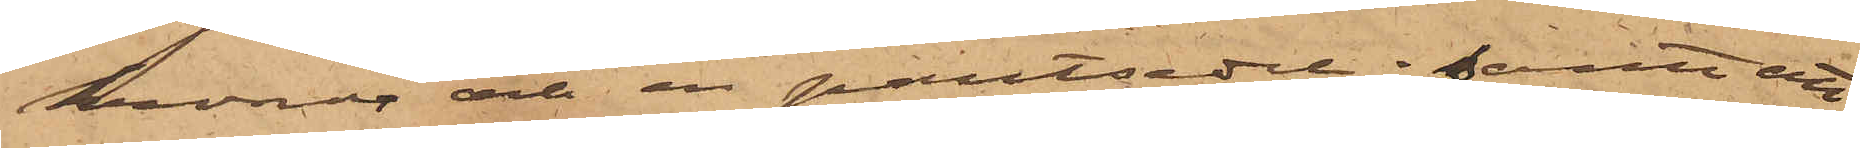kronor och en pantsedel; samt att
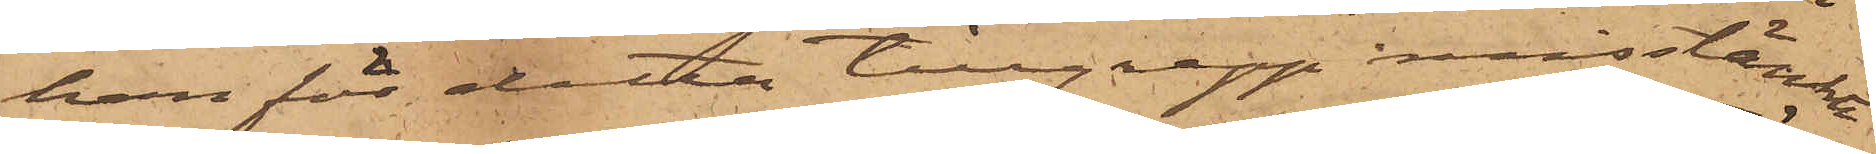han för detta tillgrepp misstänkte
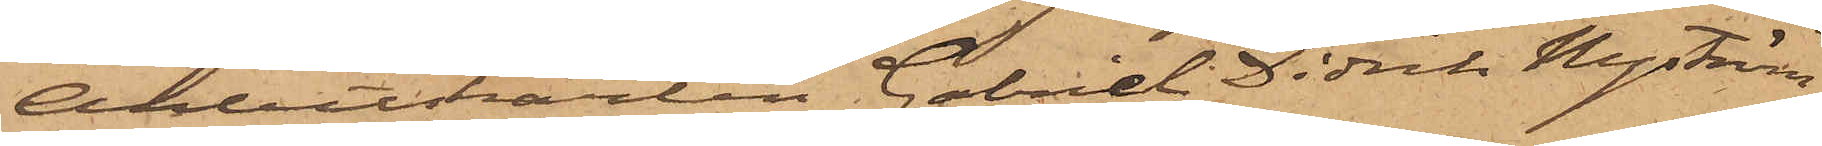Arbetskarlen Gabriel Didrik Nyström,
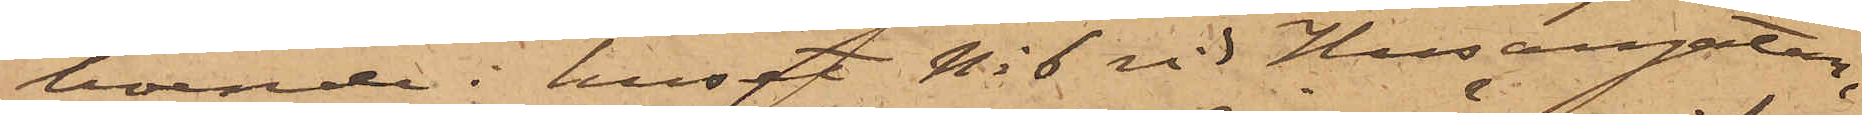boende i huset No 6 vid Husargatan,
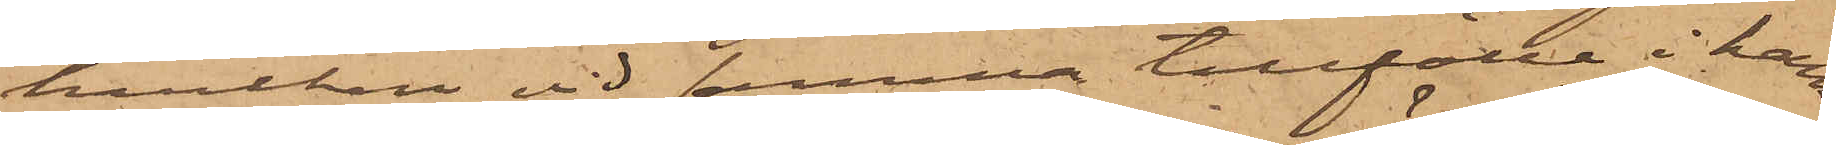hvilken vid samma tillfälle i hans
